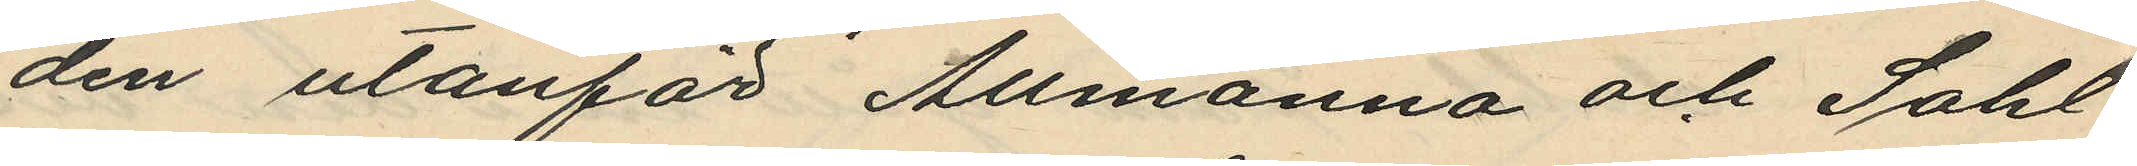den utanför Allmänna och Sahl¬
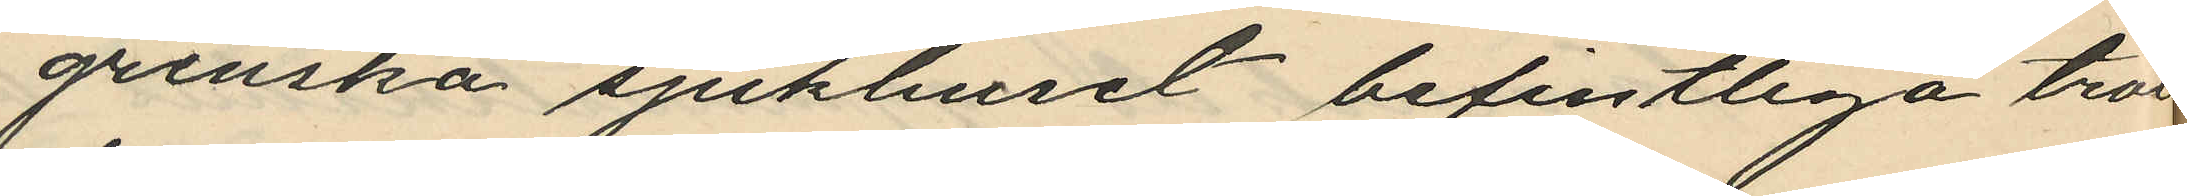grenska sjukhuset befintliga tro¬
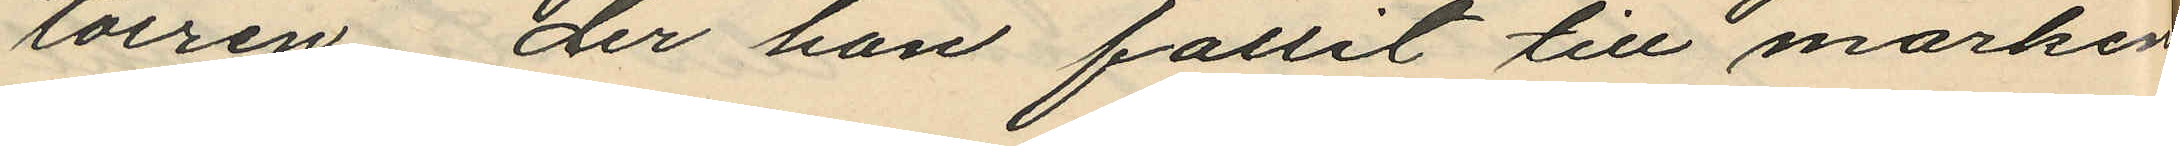toiren der han fallit till marken
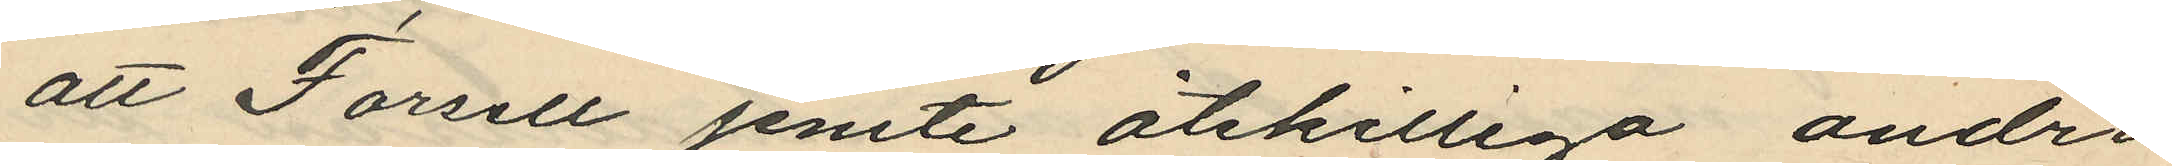att Forsell jemte åtskilliga andra
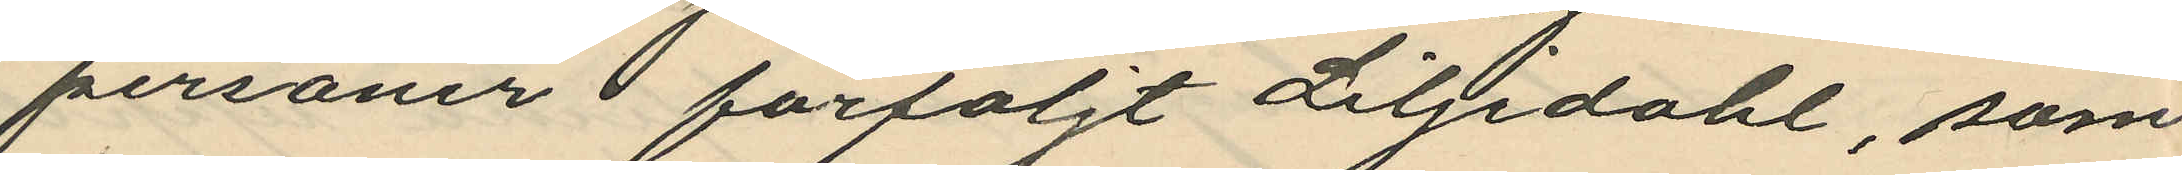personer förföljt Liljedahl, som
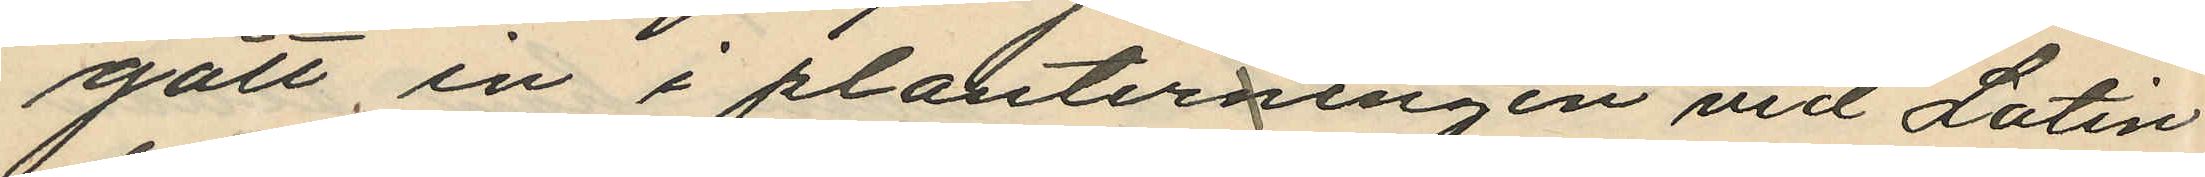gått in i planterningen vid Latin¬
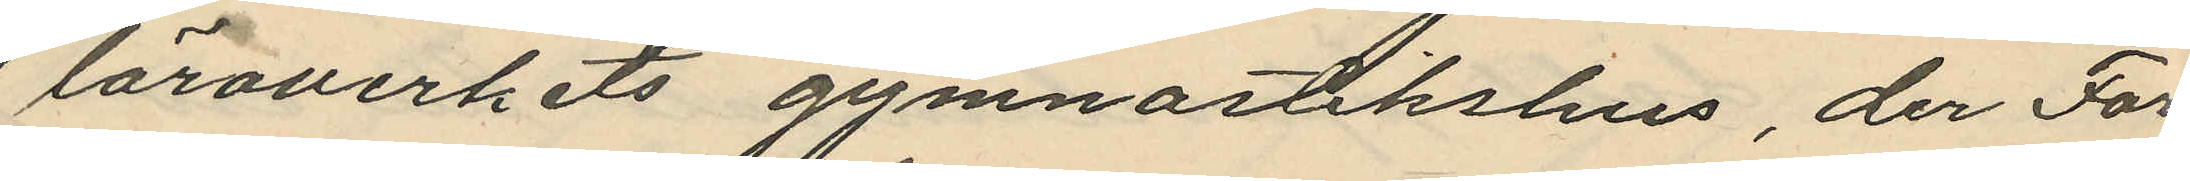läroverkets gymnastikshus, der For¬
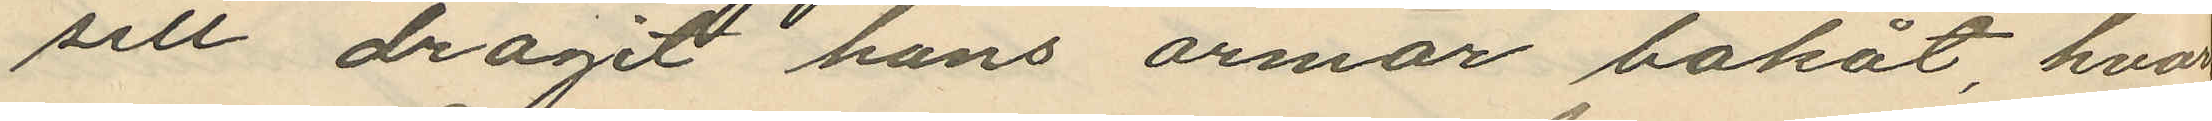sell dragit hans armar bakåt hvar
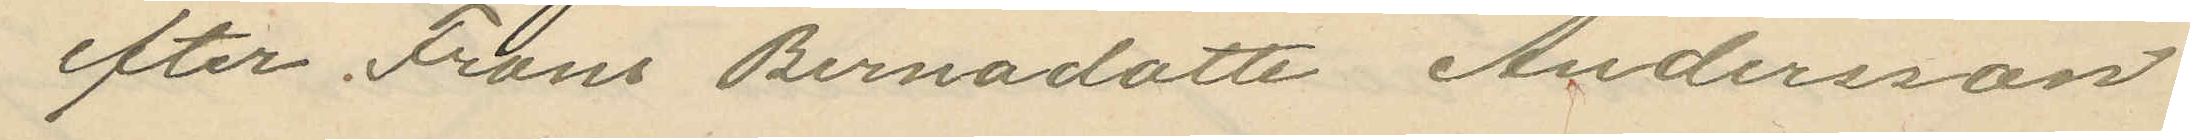efter Frans Bernadotte Andersson
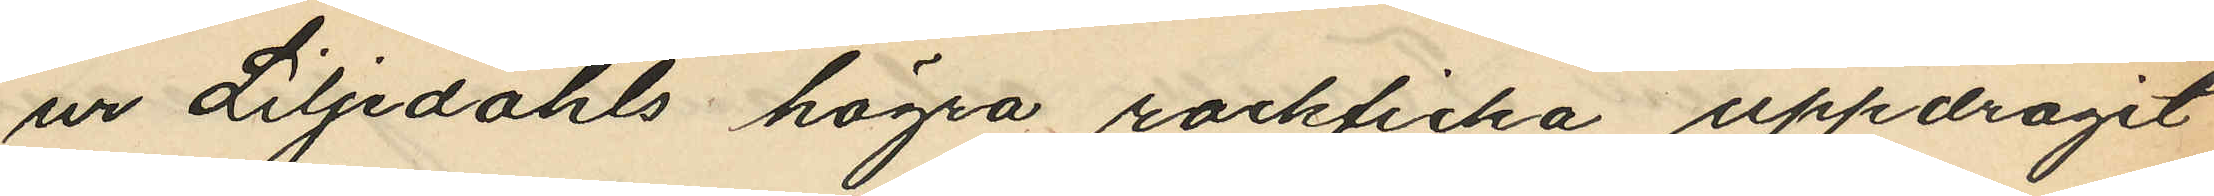ur Liljedahls högra rockficka uppdragit
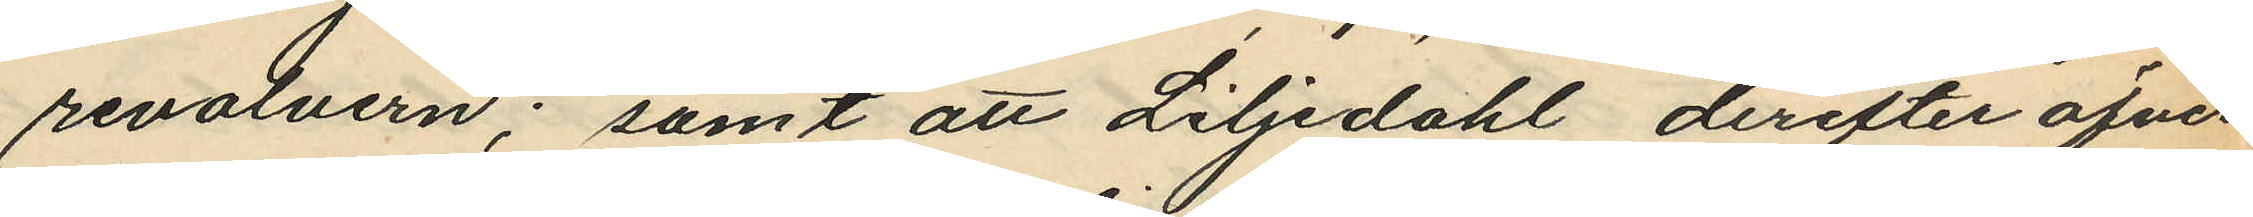revolvern; samt att Liljedahl, derefter öfver¬
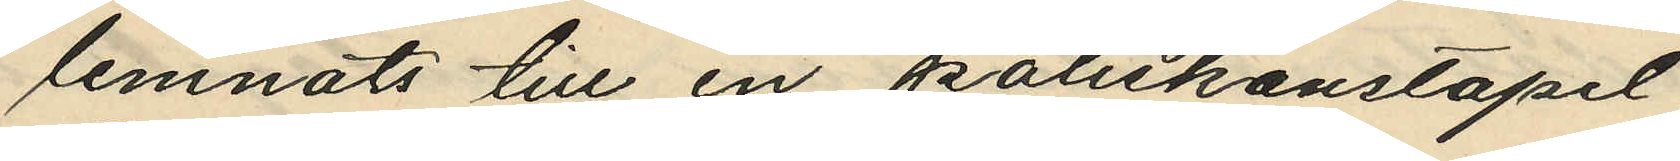lemnats till en poliskonstapel.
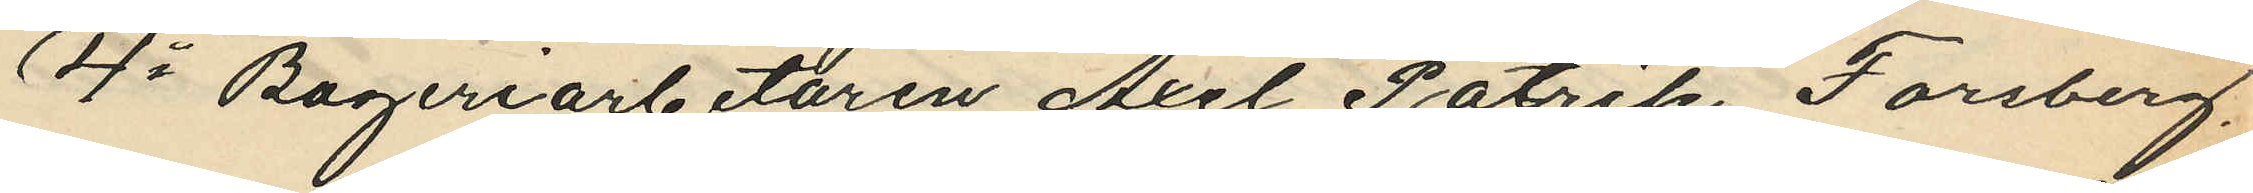4o Bageriarbetaren Axel Patrik Forsberg.
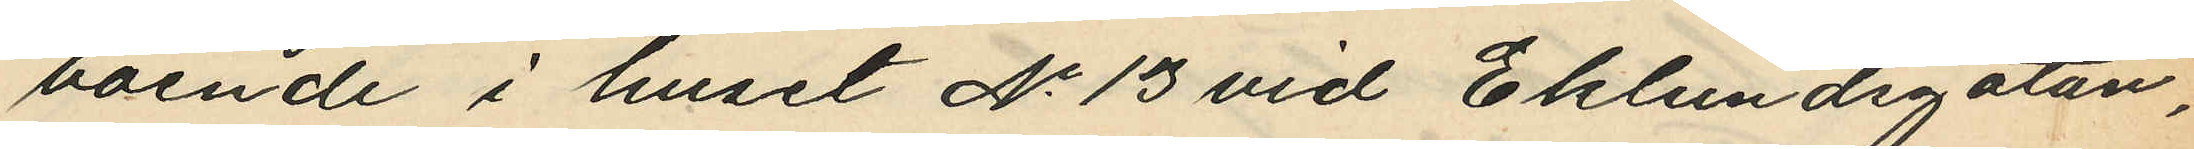boende i huset No 13 vid Eklundsgatan,
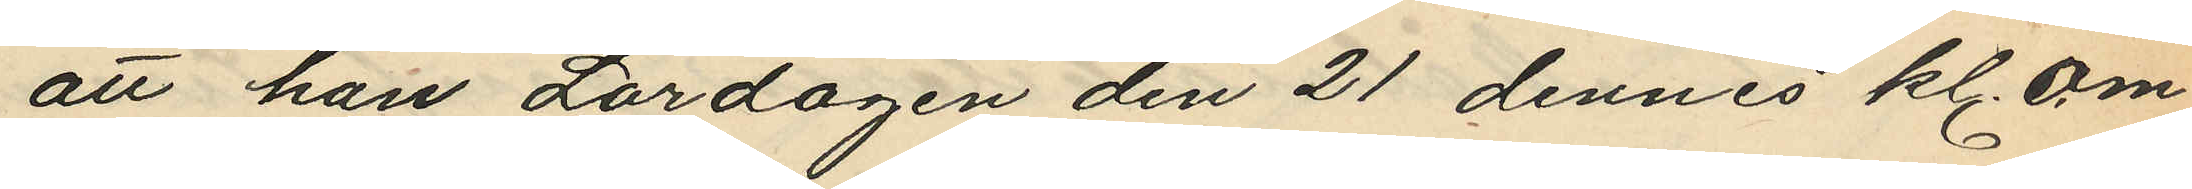att han Lördagen den 21 dennes kl. om¬
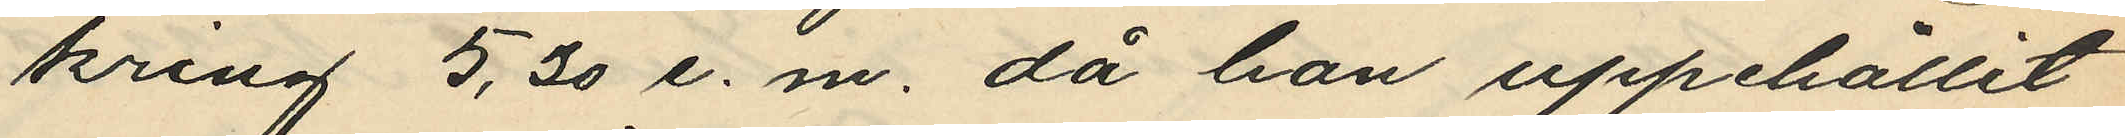kring 5,30 e.m. då han uppehållit
